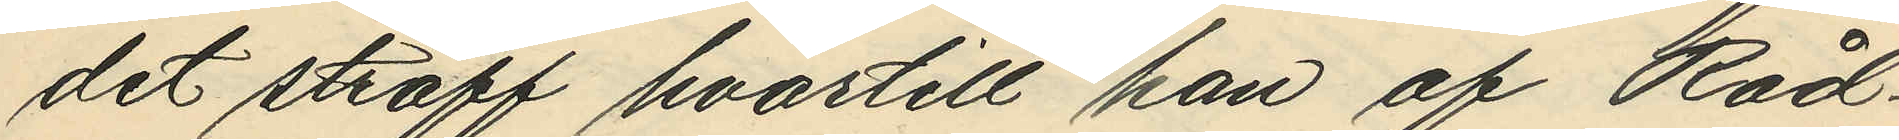det straff hvartill han af Råd¬
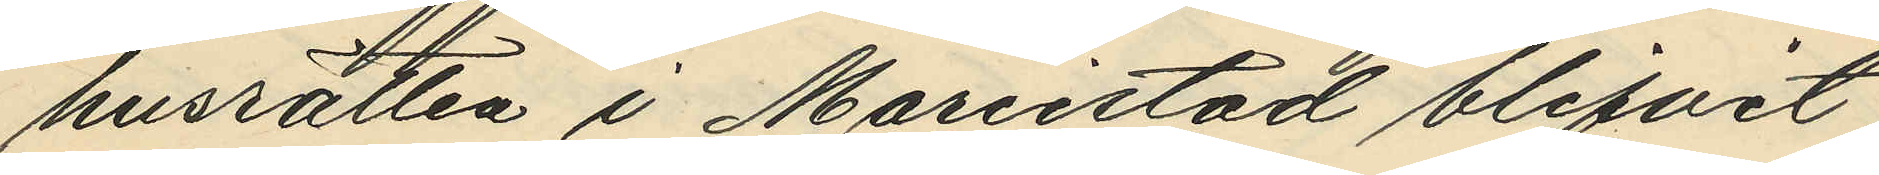husrätten i Mariestad blifvit
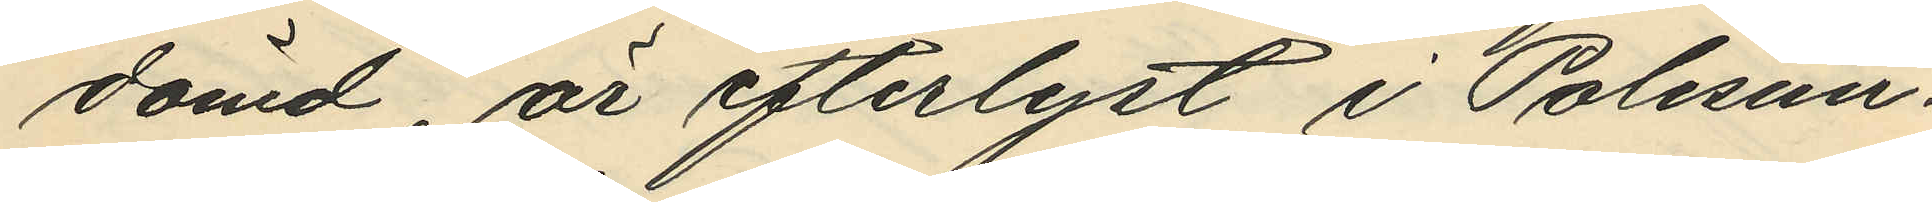dömd, är efterlyst i Polisun¬
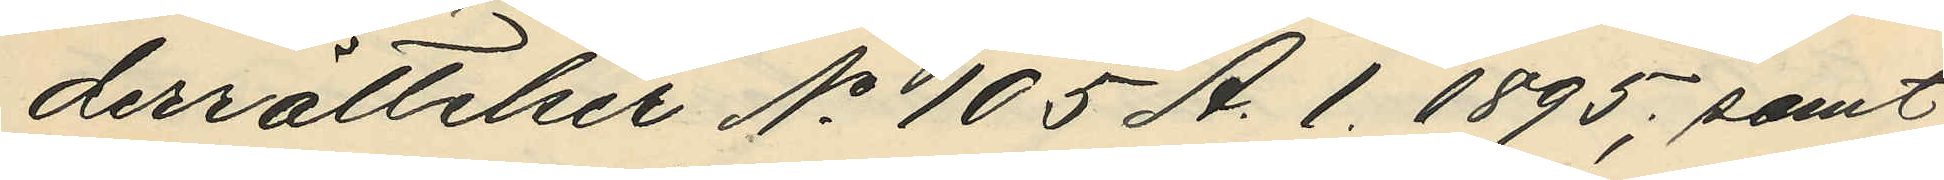derrättelser No 105 A. 1. 1895; samt
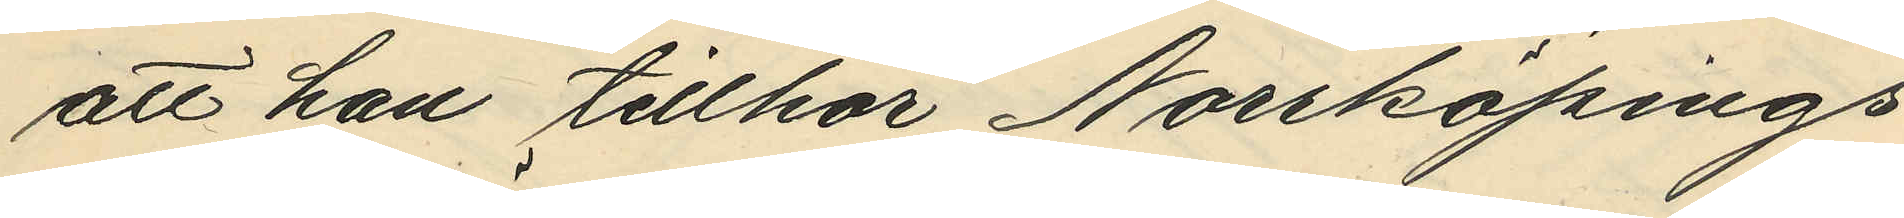att han tillhör Norrköpings
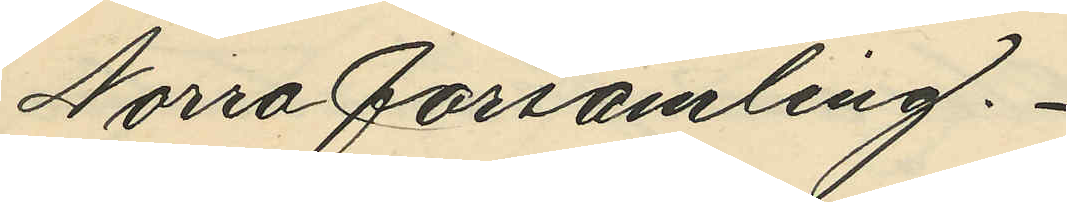Norra församling.
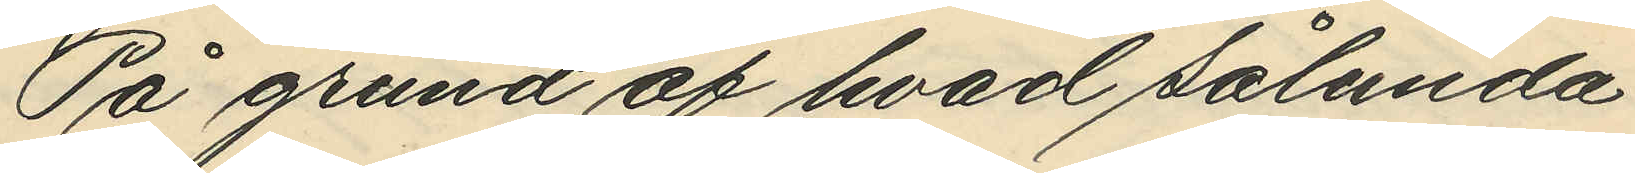På grund af hvad sålunda
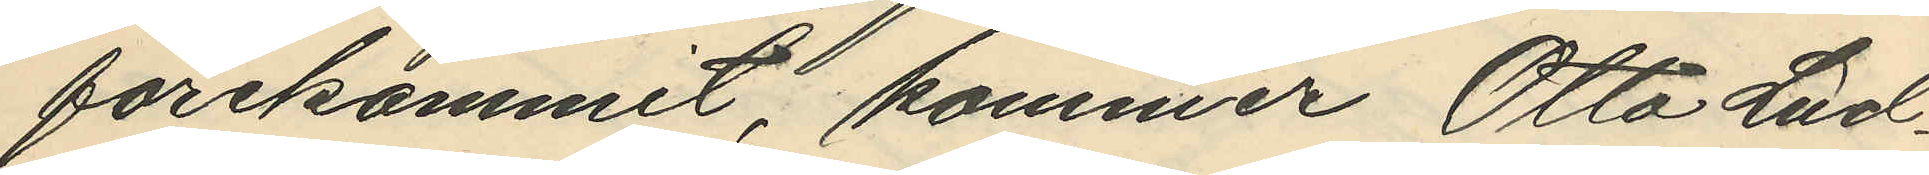förekommit, kommer Otto Lud¬
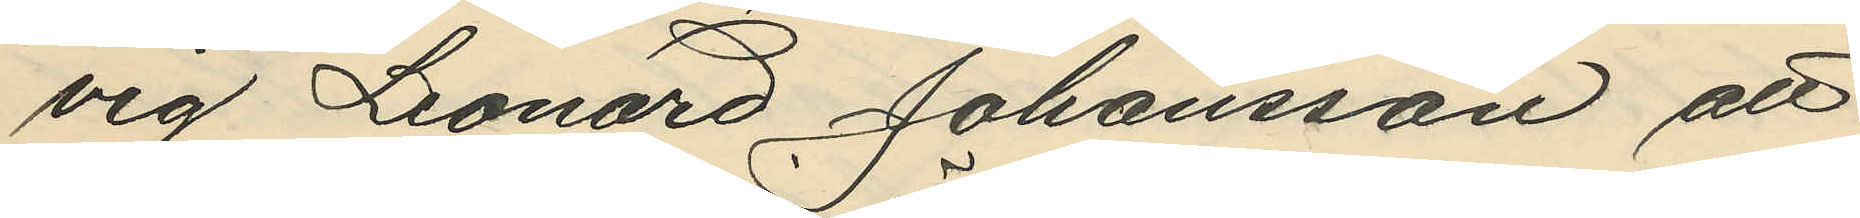vig Leonard Johansson att
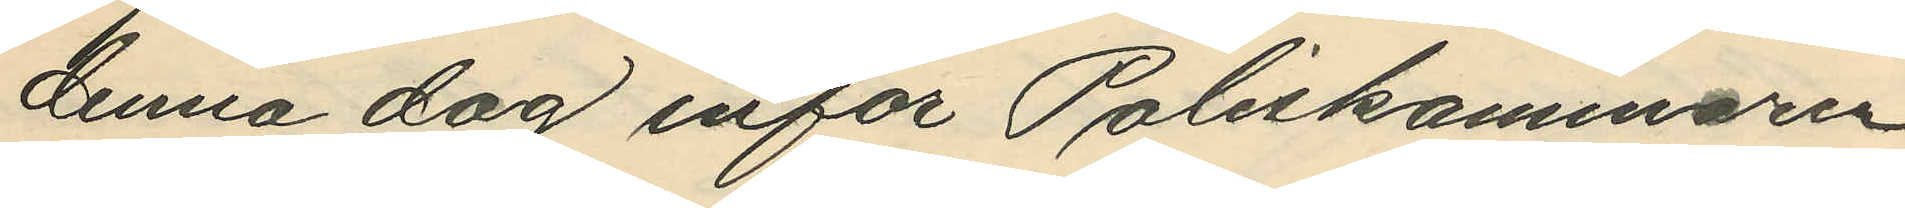denna dag inför Poliskammaren
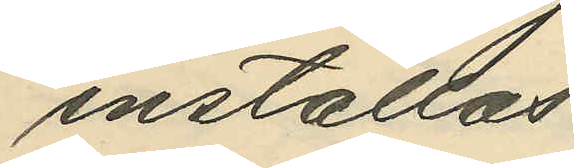inställas.
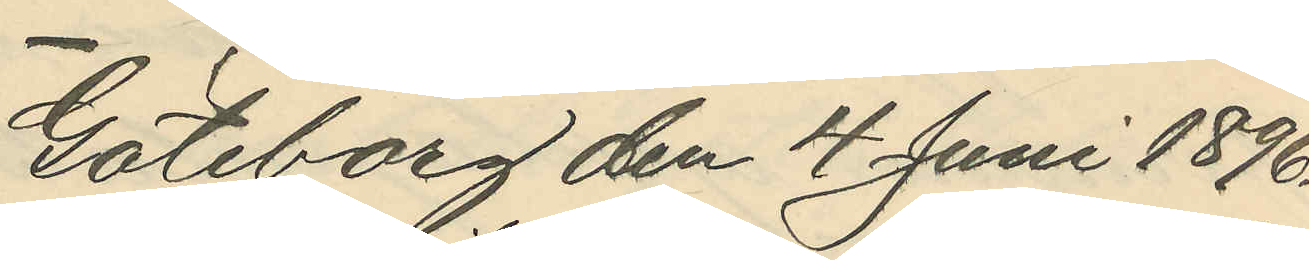Göteborg den 4 Juni 1896.
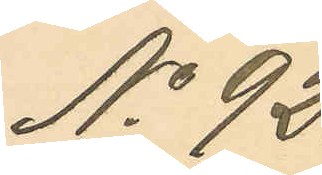No 92.
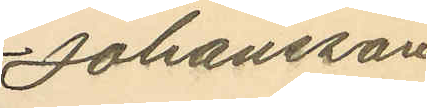Johansson
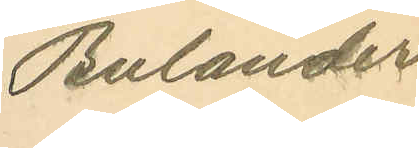Bulander.
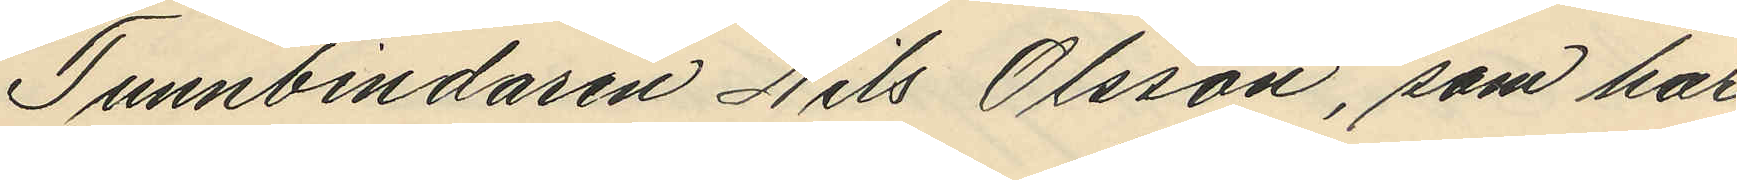Tunnbindaren Nils Olsson, som har
